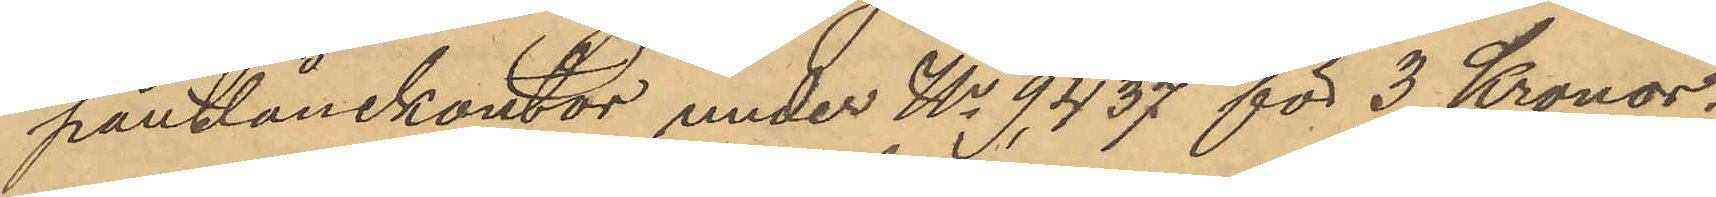pantlånekontor under No 9,437 för 3 Kronor.
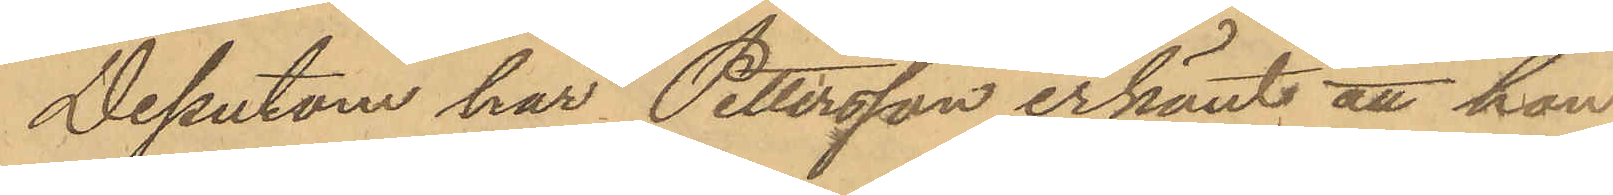Dessutom har Pettersson erkänt att han
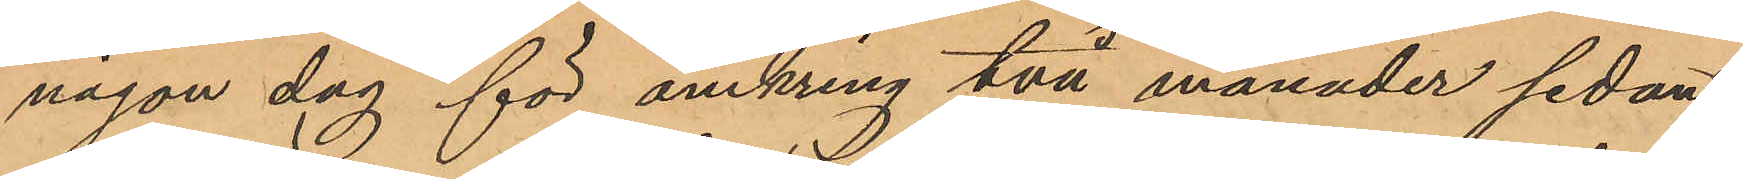någon dag för omkring två månader sedan
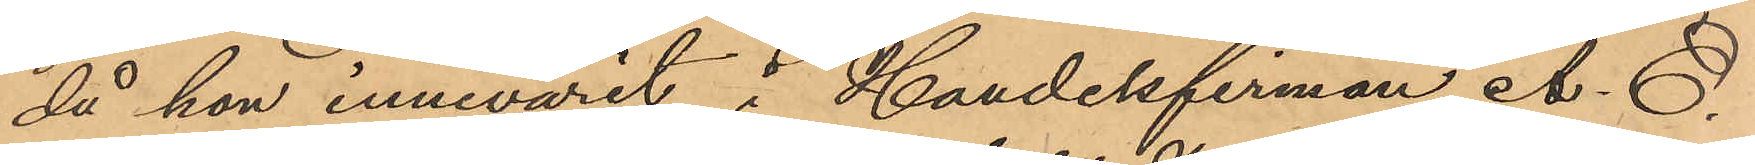då hon innevarit i Handelsfirman A. O.
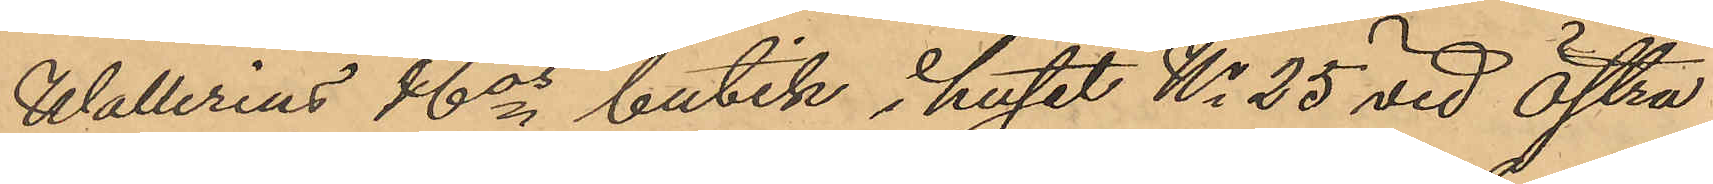Wallerius & Cos butik i huset No 25 vid Östra
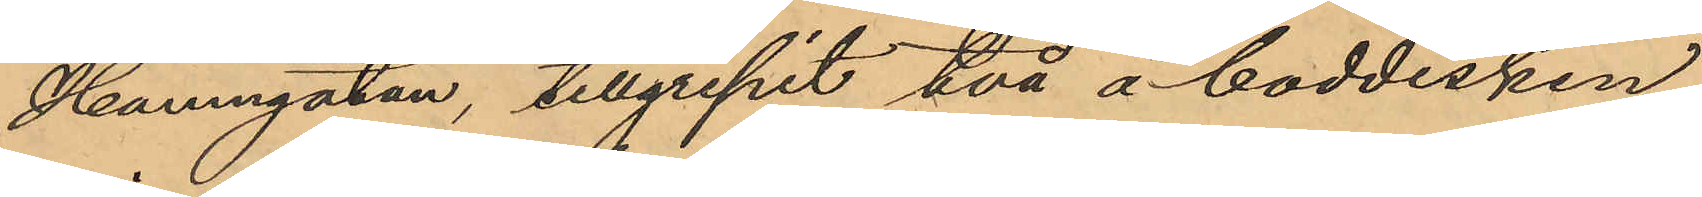Hamngatan, tillgripit två å boddisken
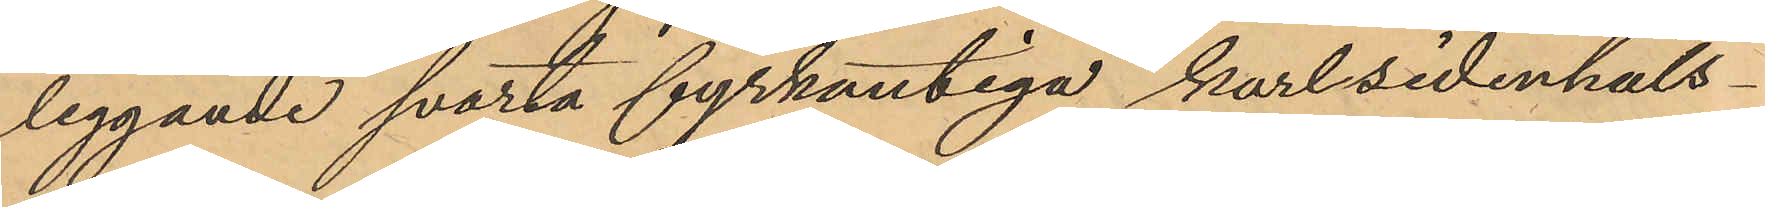liggande svarta fyrkantiga karlsidenhals¬
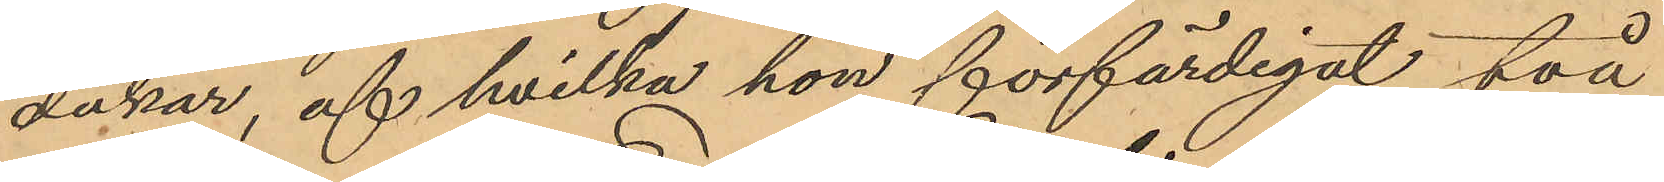dukar, af hvilka hon förfärdigat två
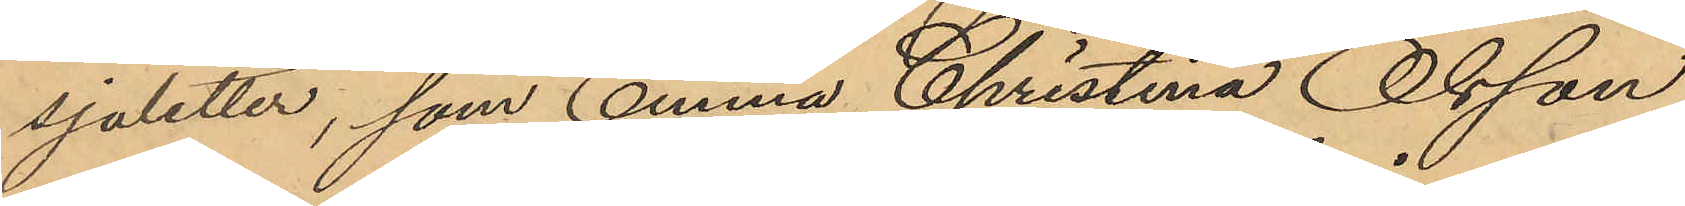sjaletter, som Emma Christina Olsson
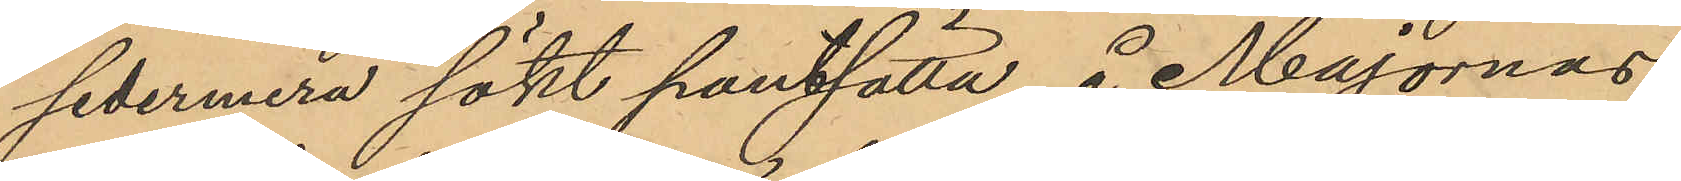sedermera sökt pantsätta å Majornas
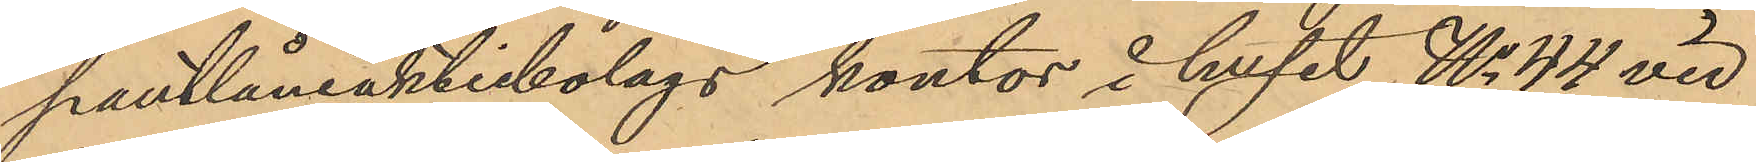pantlåneaktiebolags kontor i huset No 44 vid
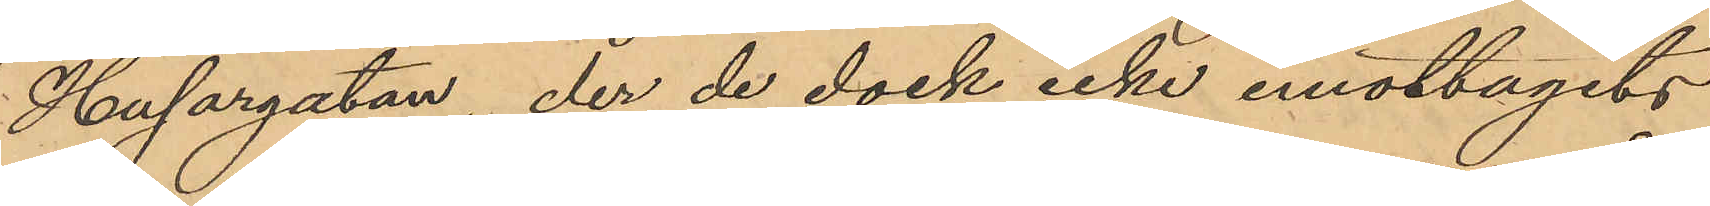Husargatan, der de dock icke emottagits
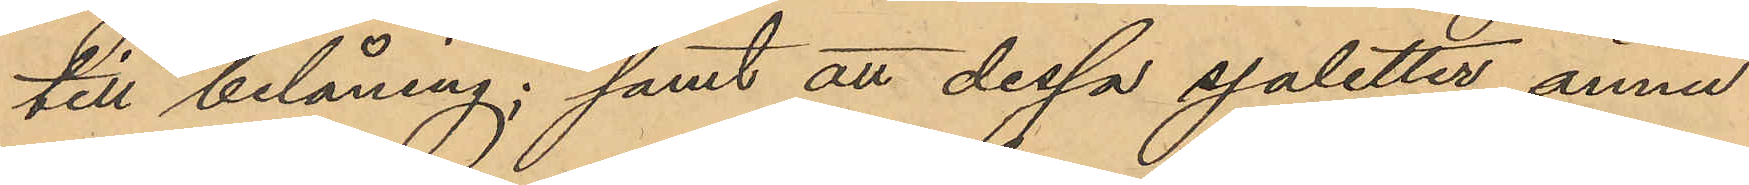till belåning; samt att dessa sjaletter ännu
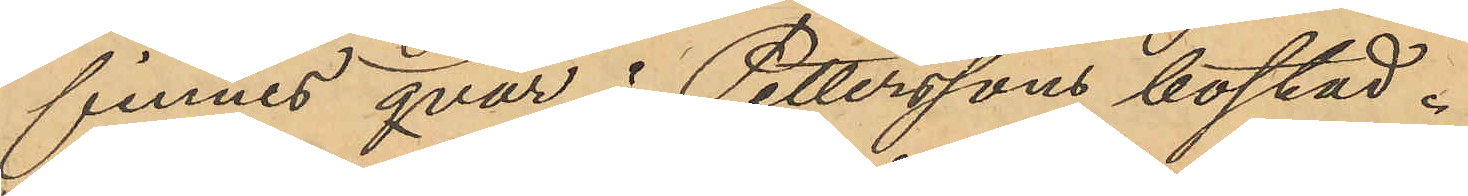finnes qvar i Petterssons bostad.
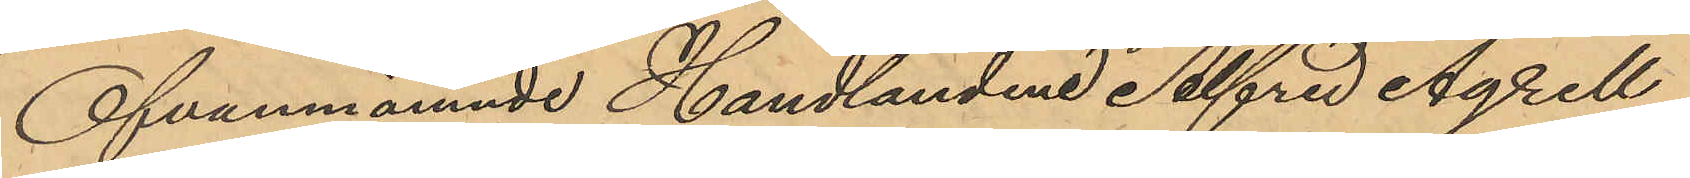Ofvannämnde Handlanden Alfred Agrell
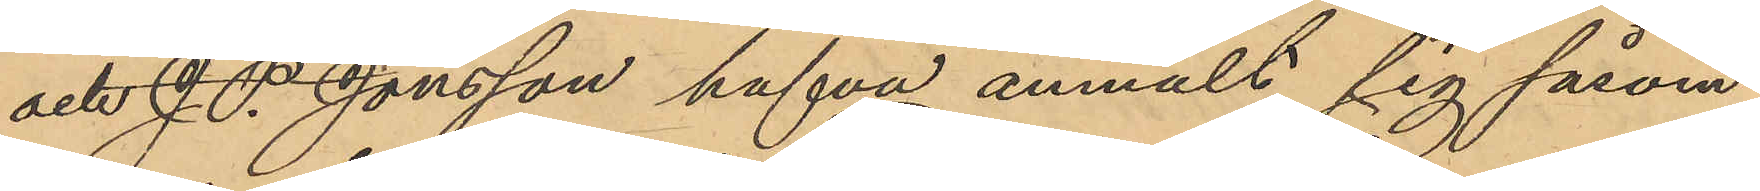och J. P. Jonsson hafva anmält sig såsom
